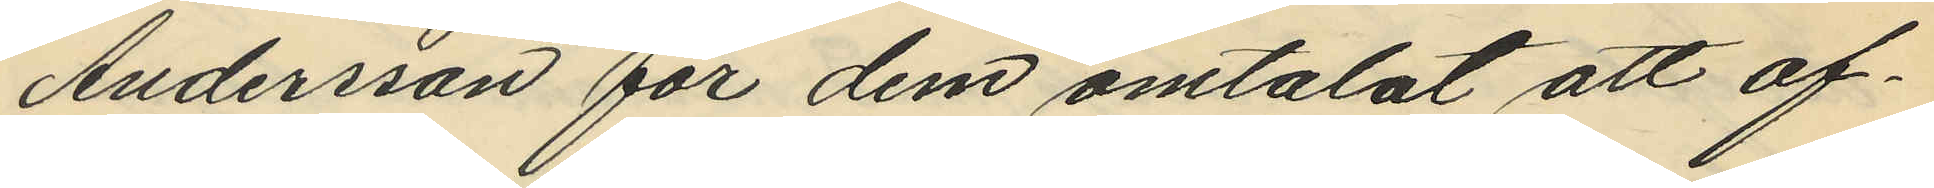Andersson för dem omtalat att of¬
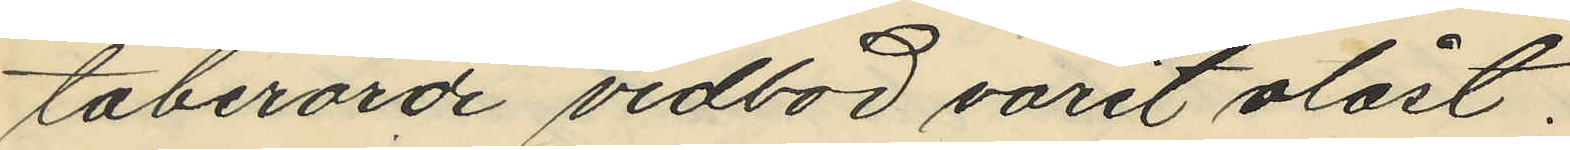taberörde vedbod varit olåst,
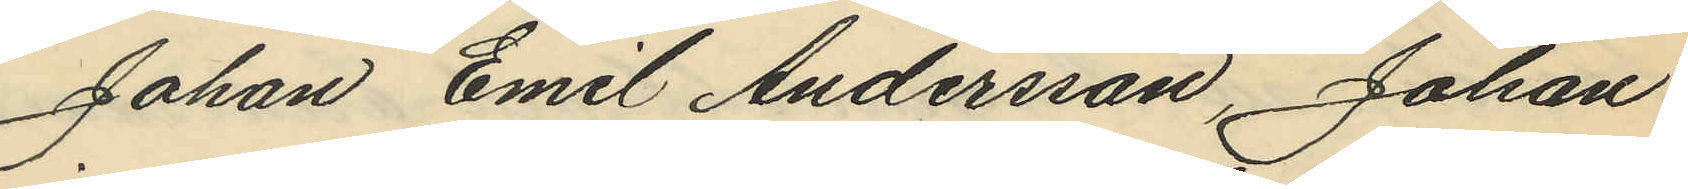Johan Emil Andersson, Johan
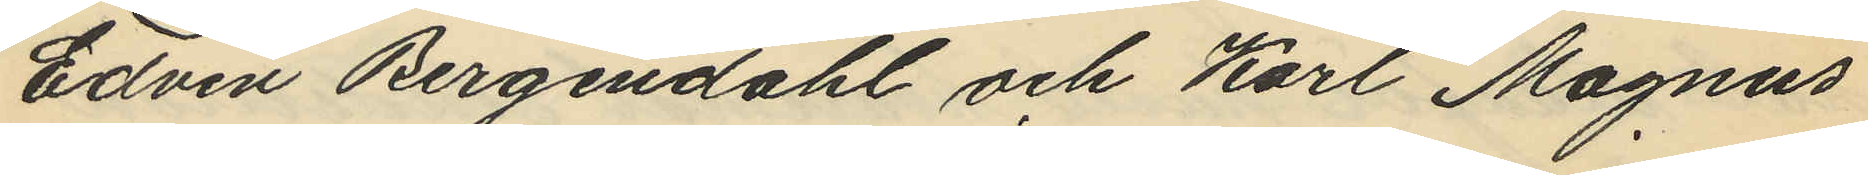Edvin Bergendahl och Karl Magnus
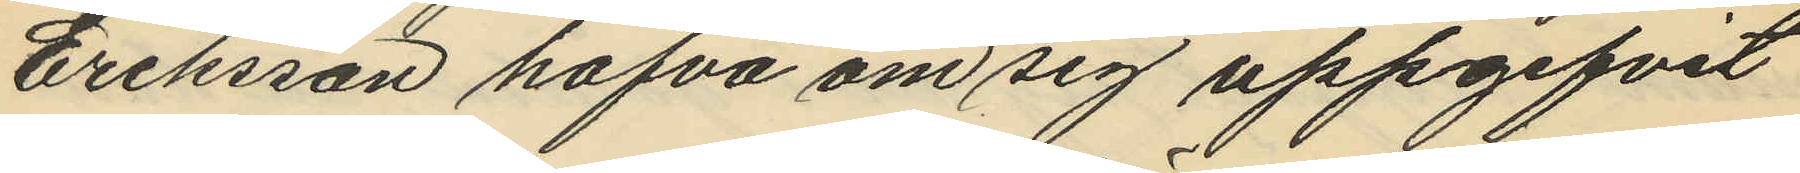Eriksson hafva om sig uppgifvit
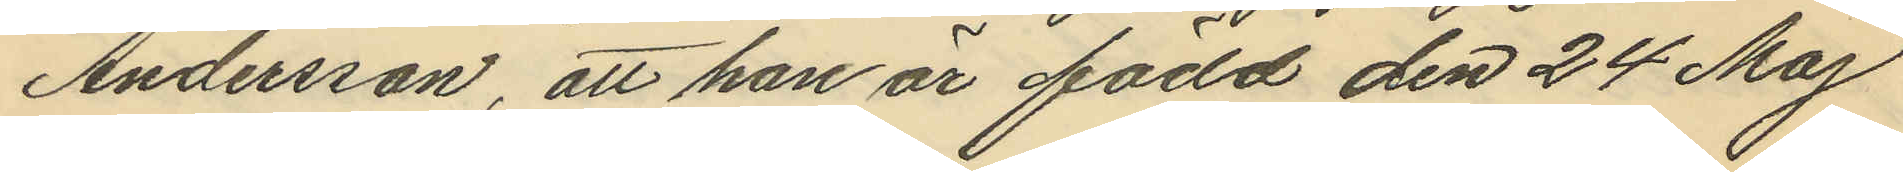Andersson, att han är född den 24 Maj
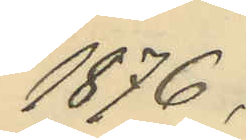1876,
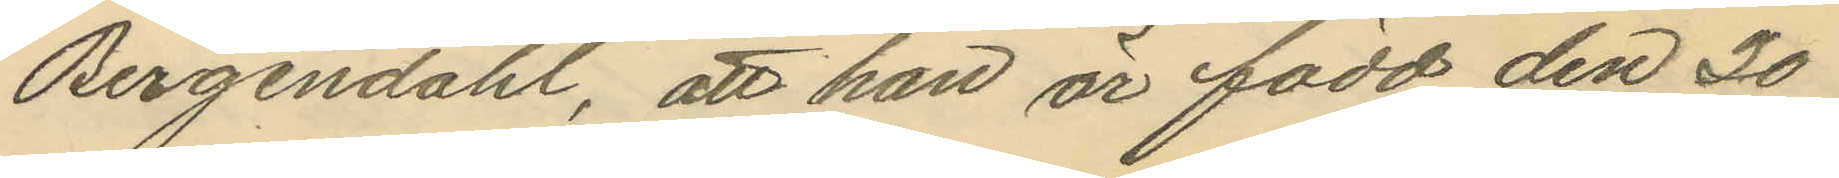Bergendahl, att han är född den 30
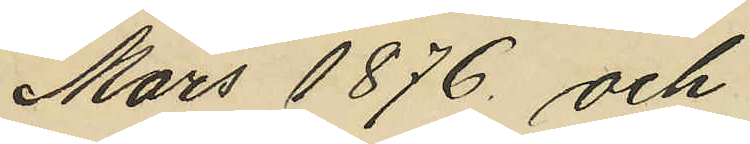Mars 1876 och
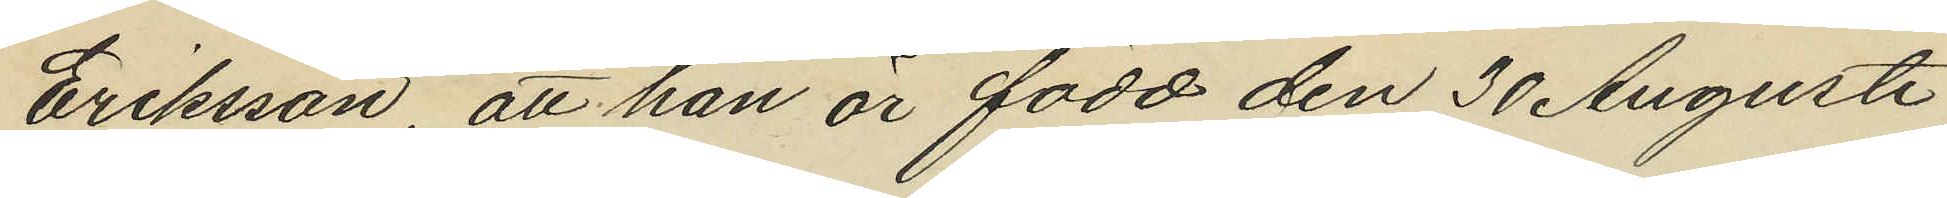Eriksson, att han är född den 30 Augusti
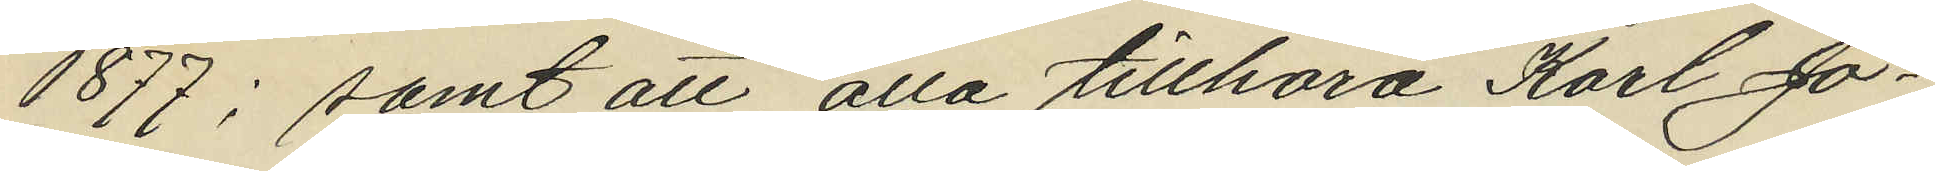1877; samt att alla tillhöra Karl Jo¬
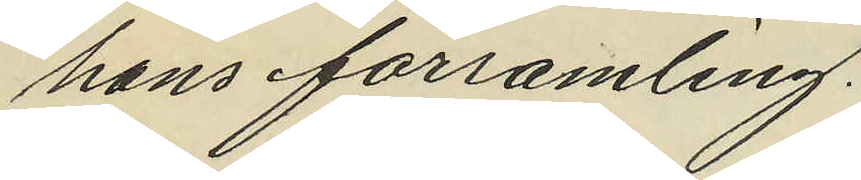hans församling.
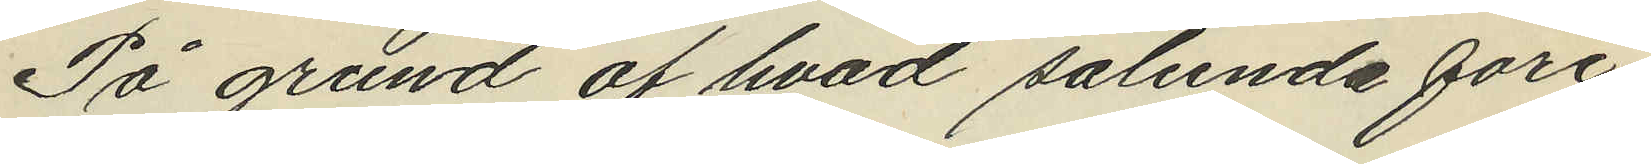På grund af hvad sålunda före¬
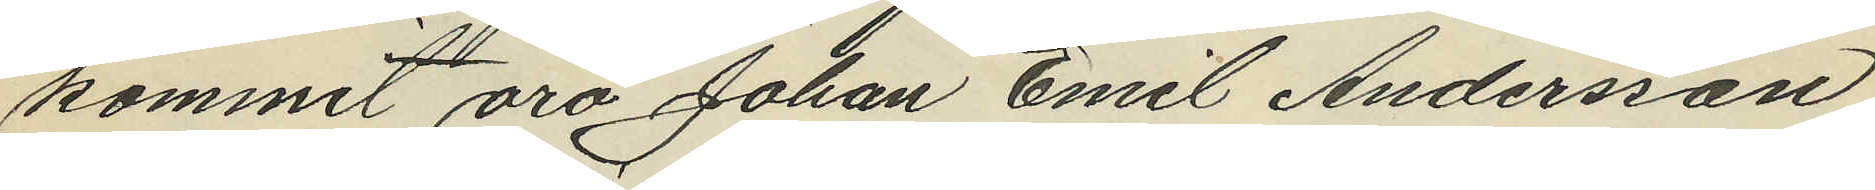kommit äro Johan Emil Andersson,
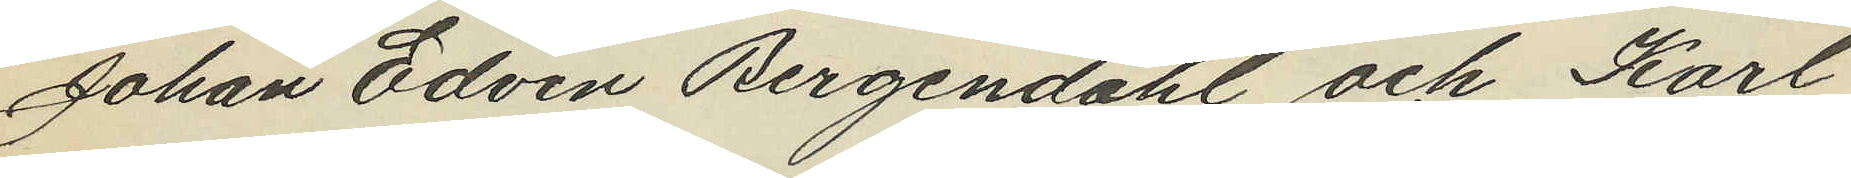Johan Edvin Bergendahl och Karl
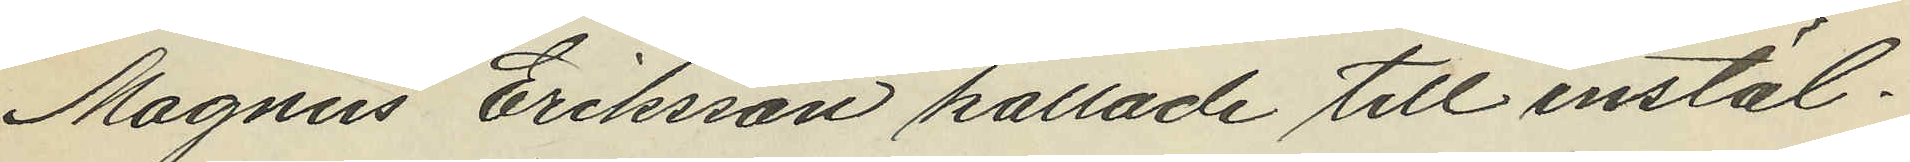Magnus Eriksson kallade till instäl¬
